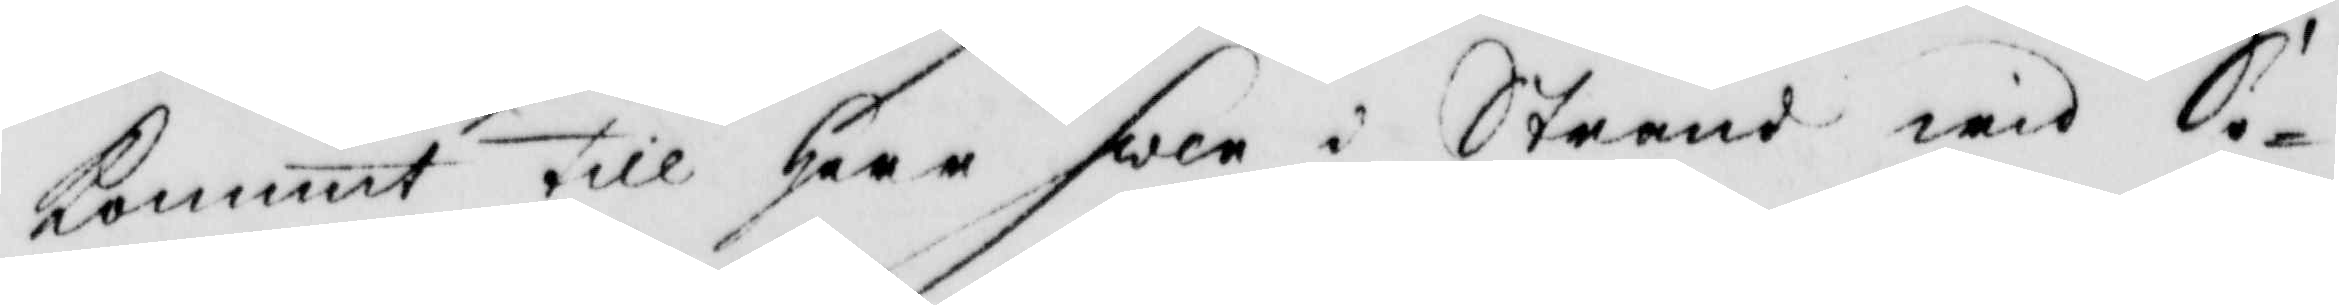kommit till Herr Swen i Strand wid So¬
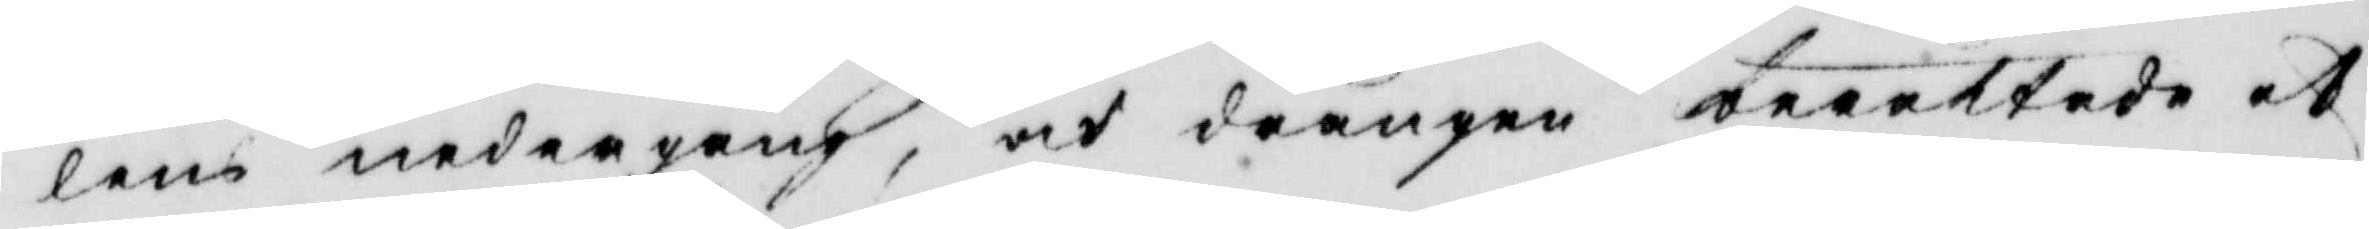lens nedergång, och drängen berättade at
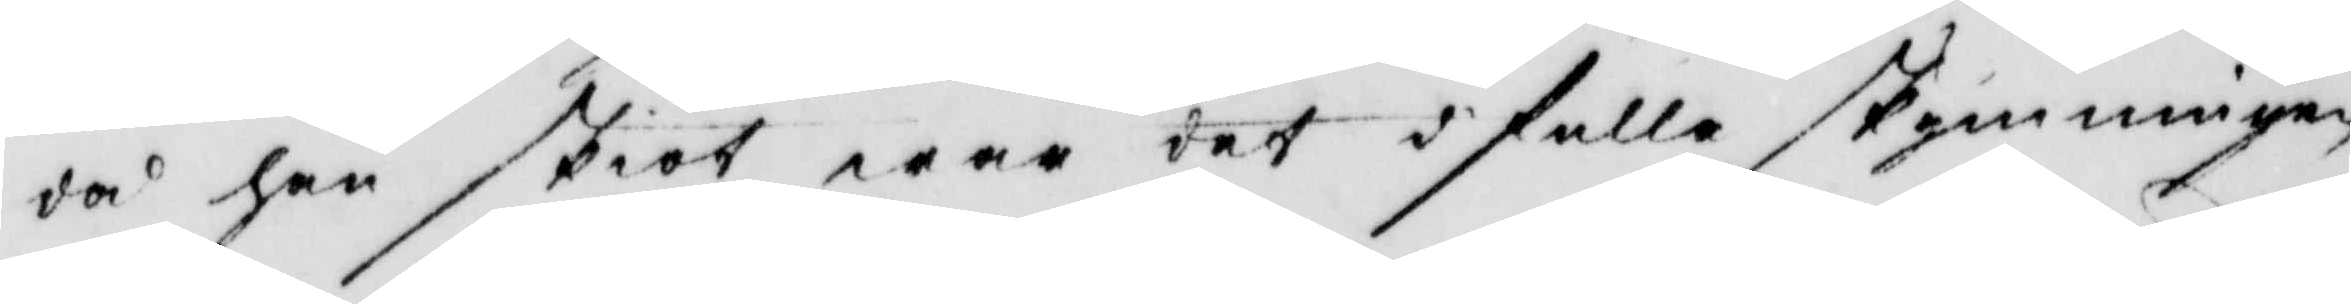då han skiöt war det i fulla skymningen
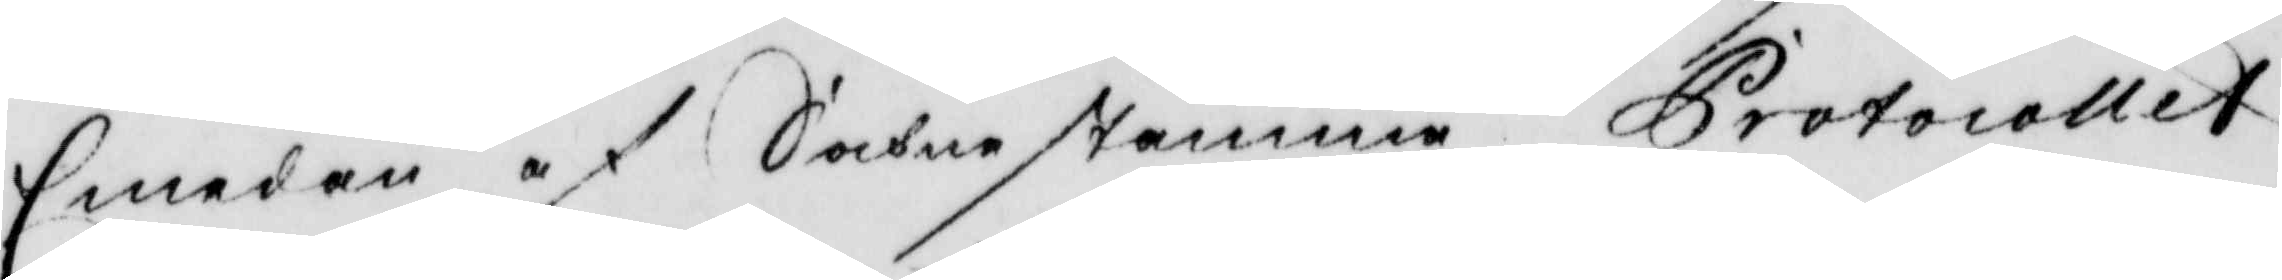Emedan af Sochnestämme Protocollet
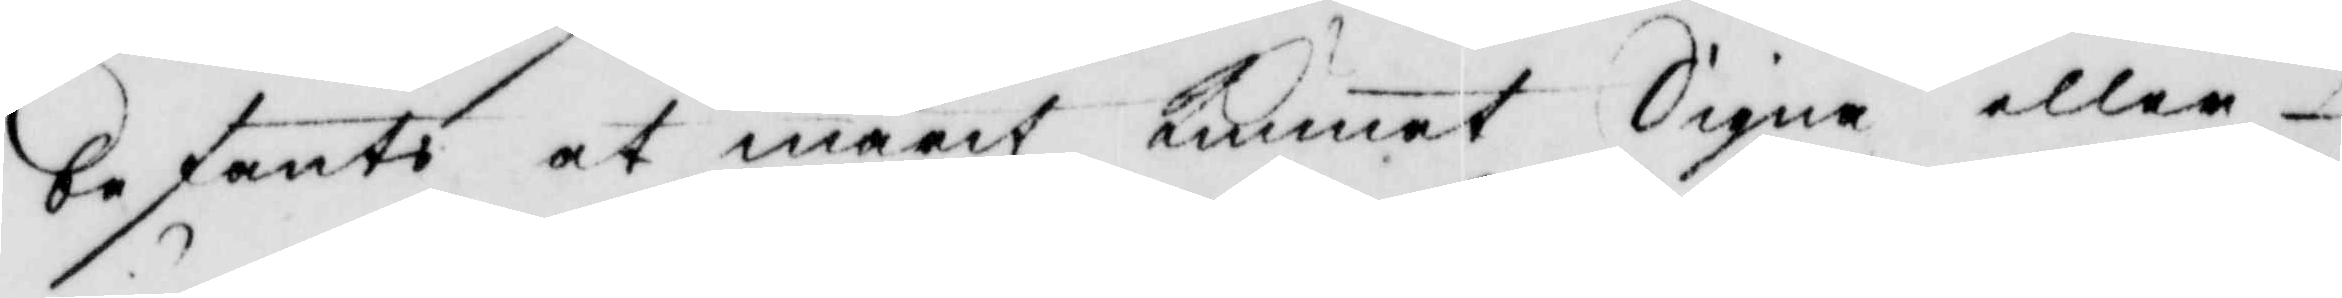befants at marit kunnat Signa eller
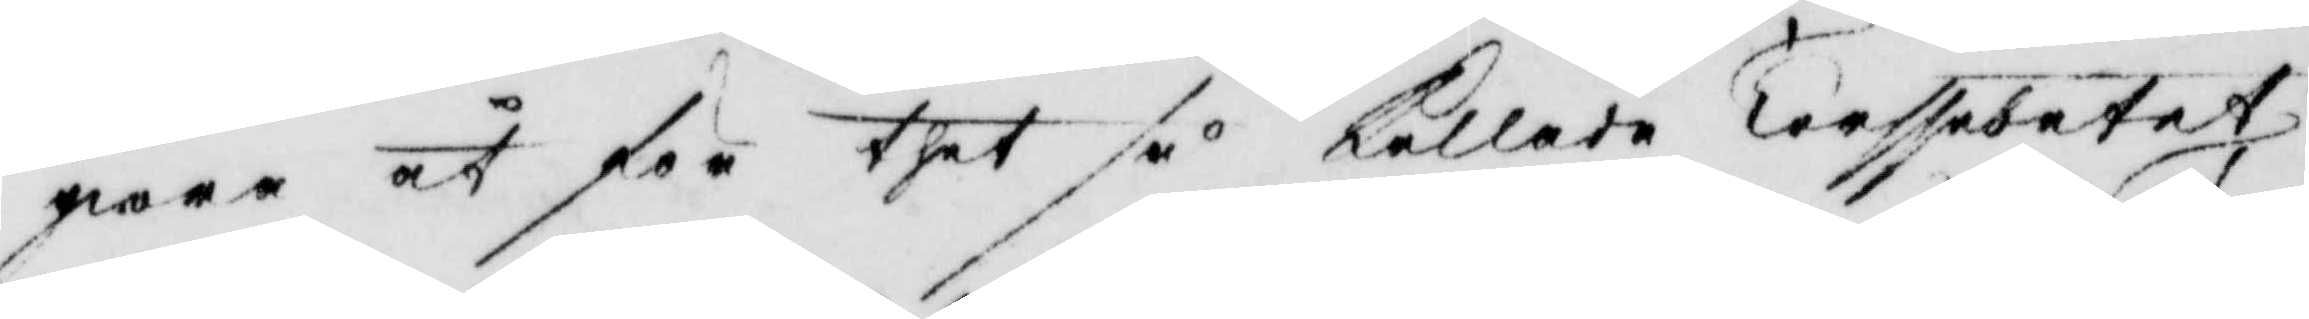giöra åt för thet så kallade Terssebetet
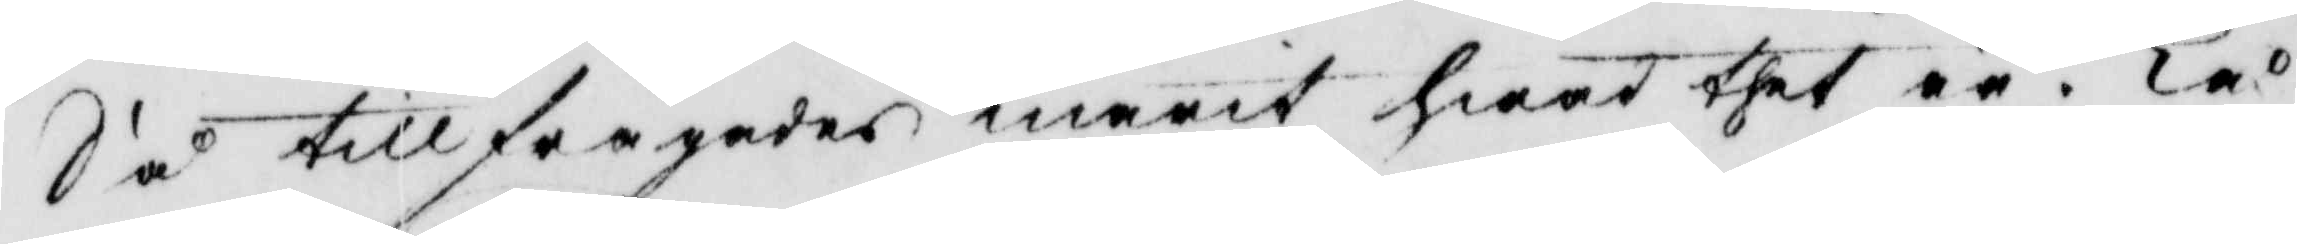Så tillfrågades marit hwad thet är? Tå
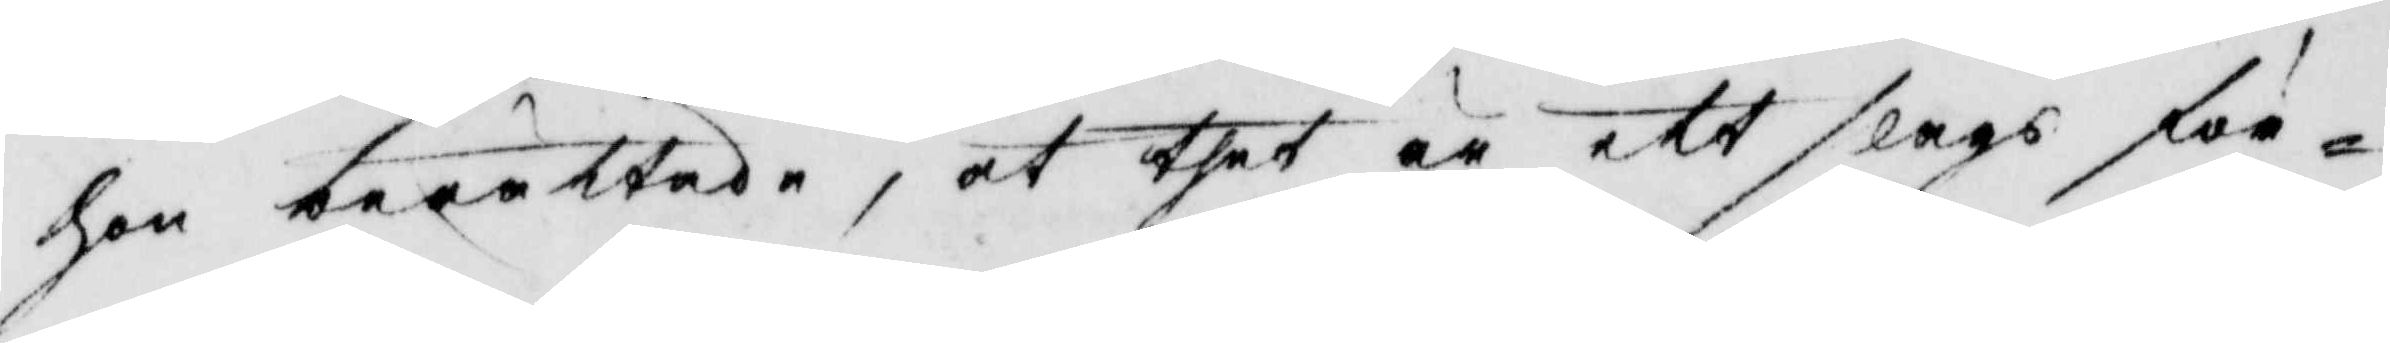hon berättade, at thet är ett slags för¬
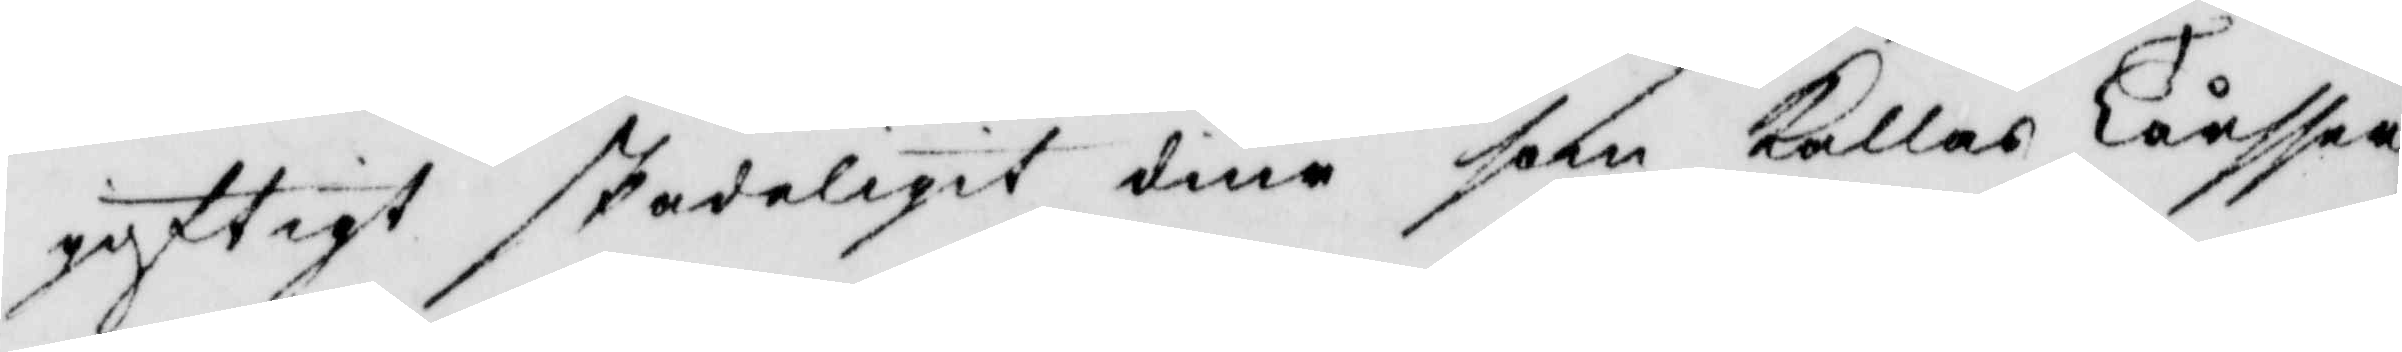gyttigt skadeligit diur som kallas Tårsser
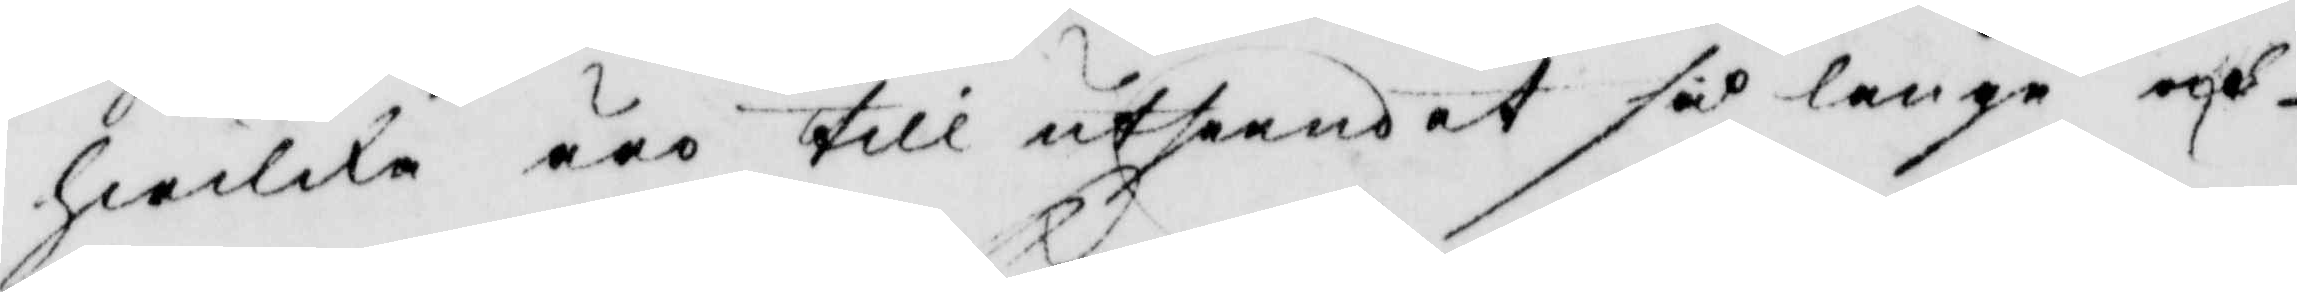hwilka äro till utseendet så långa och
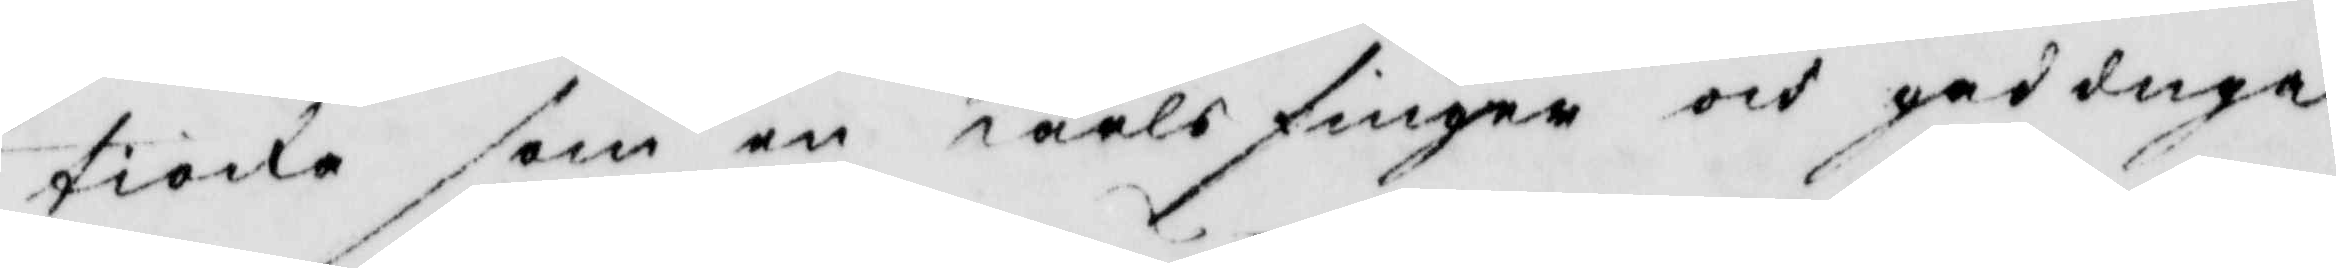tioka som en karls finger och god duga
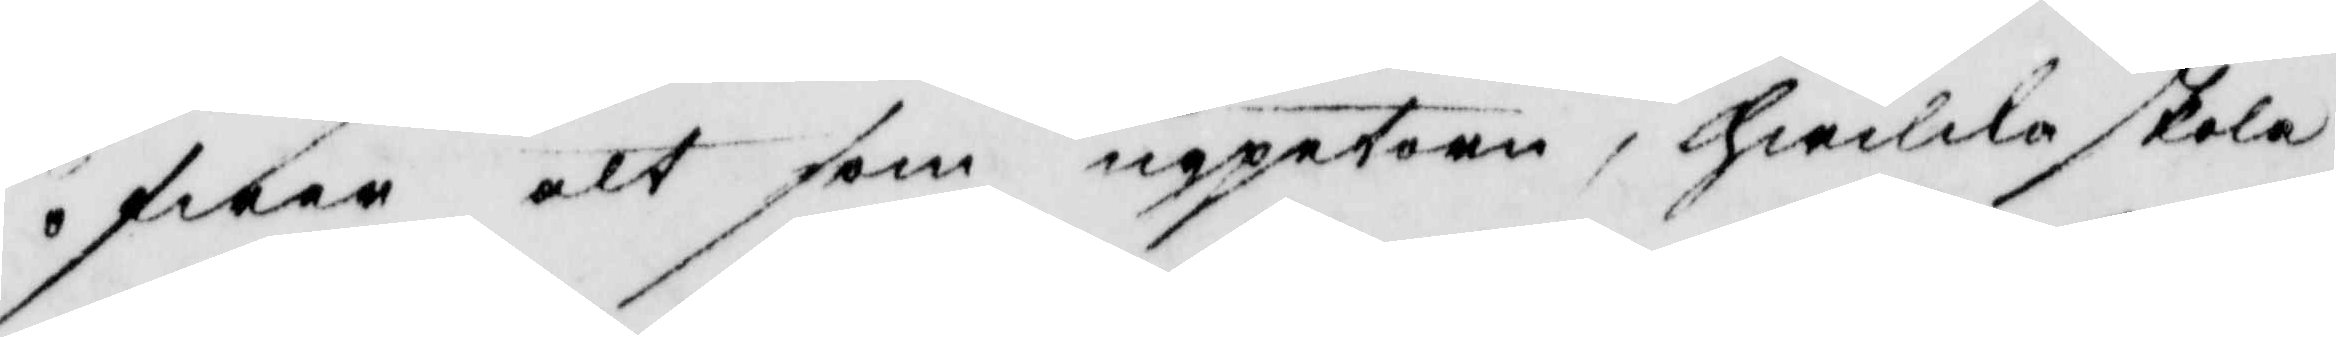öfwer alt som uppetorn, hwilka skola
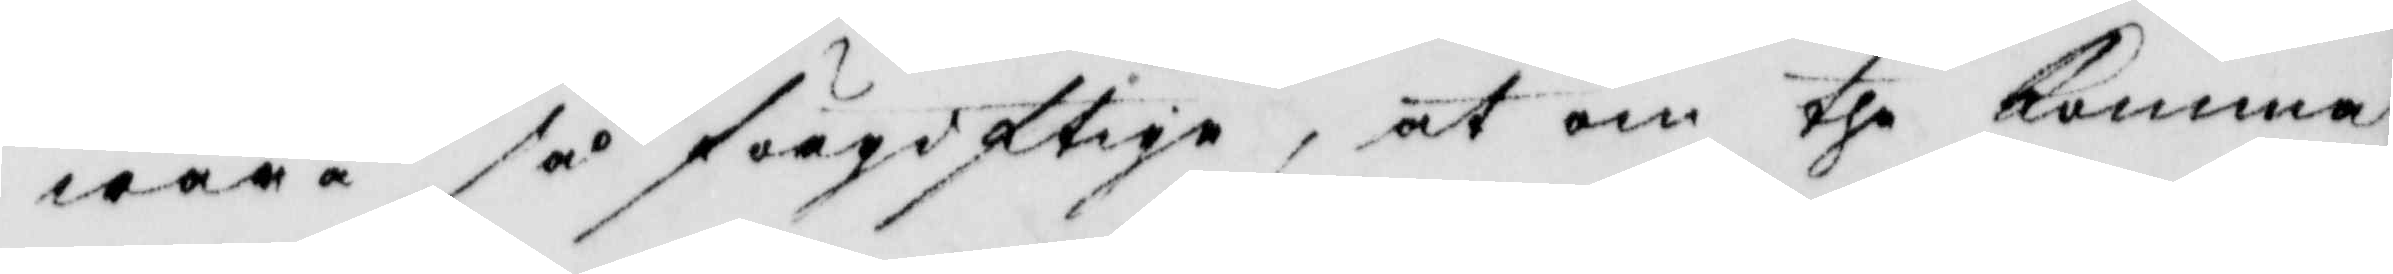wara så förgiftiga, at om the komma
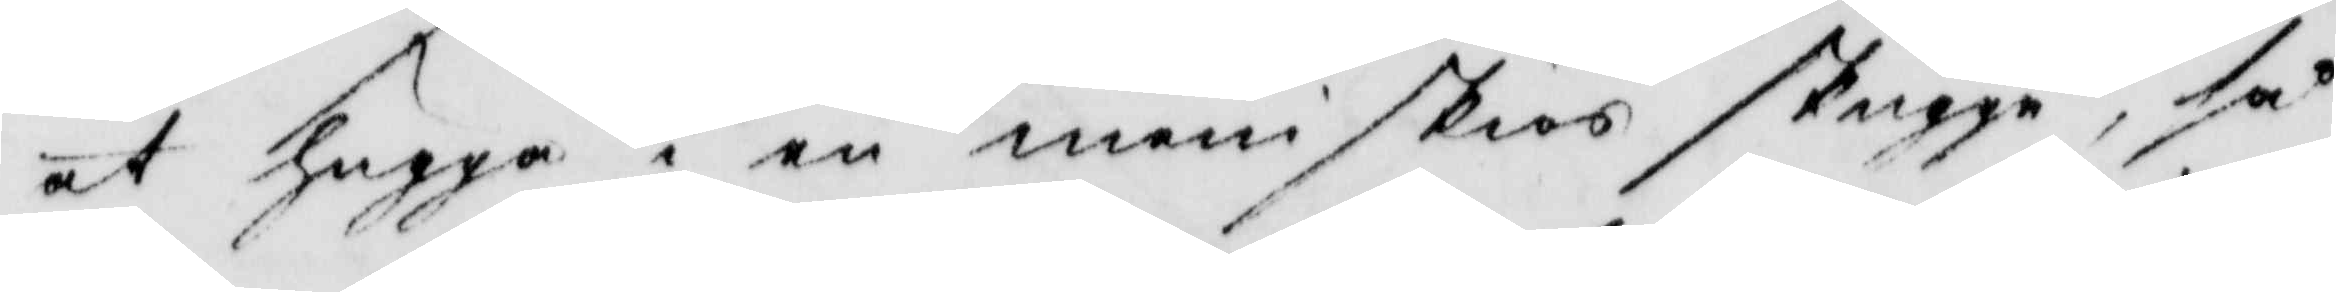at hugga i en meniskoas skugga, så
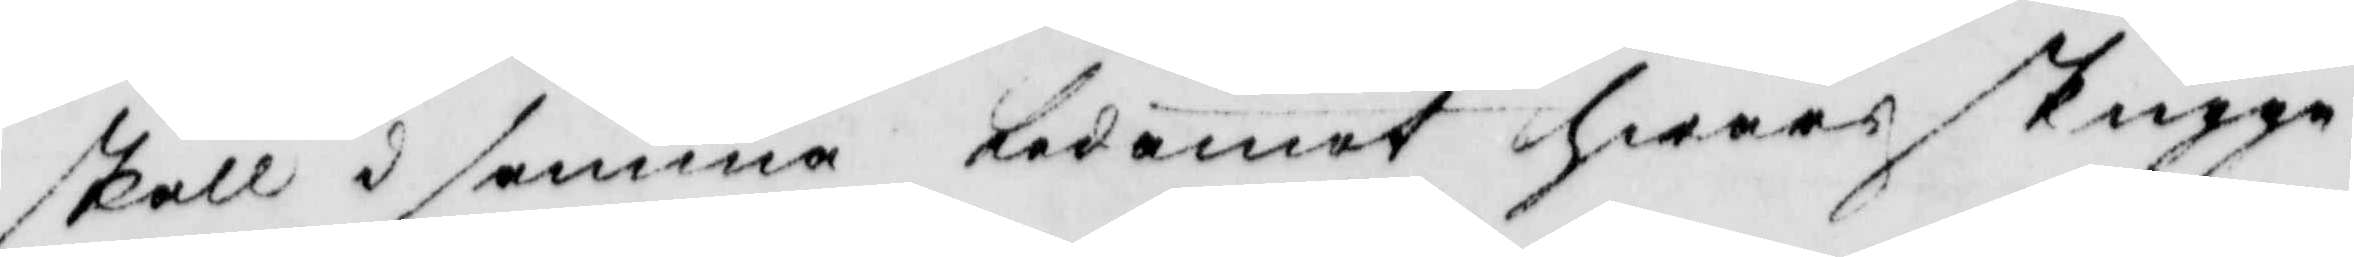skall i samma ledamot hwars skugga
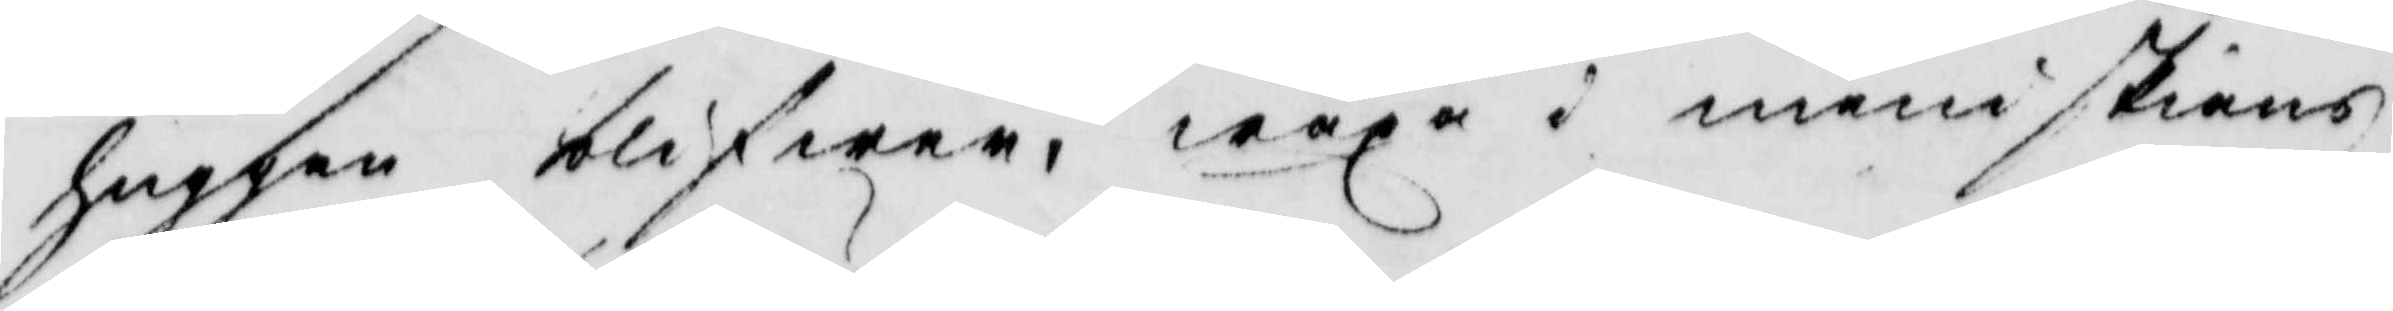huggen blifwer, wäxa i meniskians
